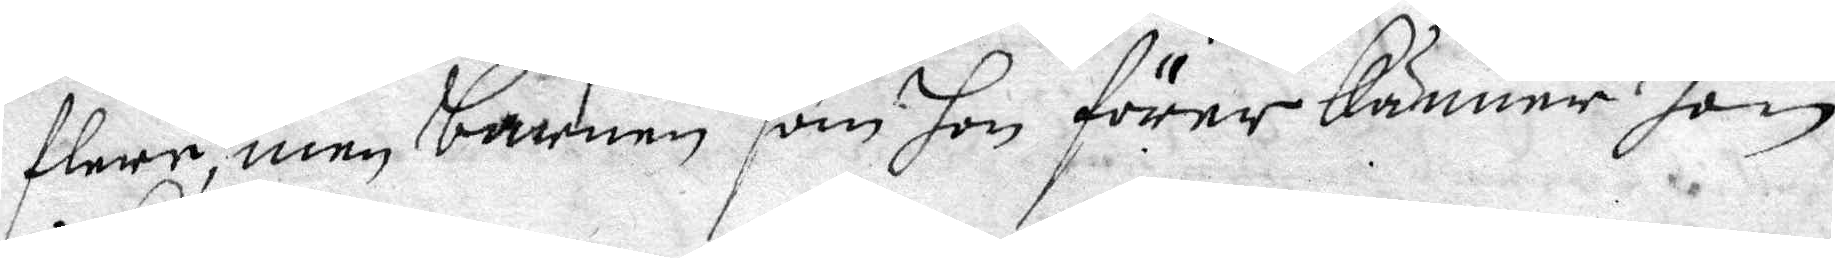flere, men barnen som hon förer känner hon 
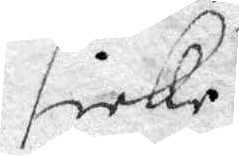icke.
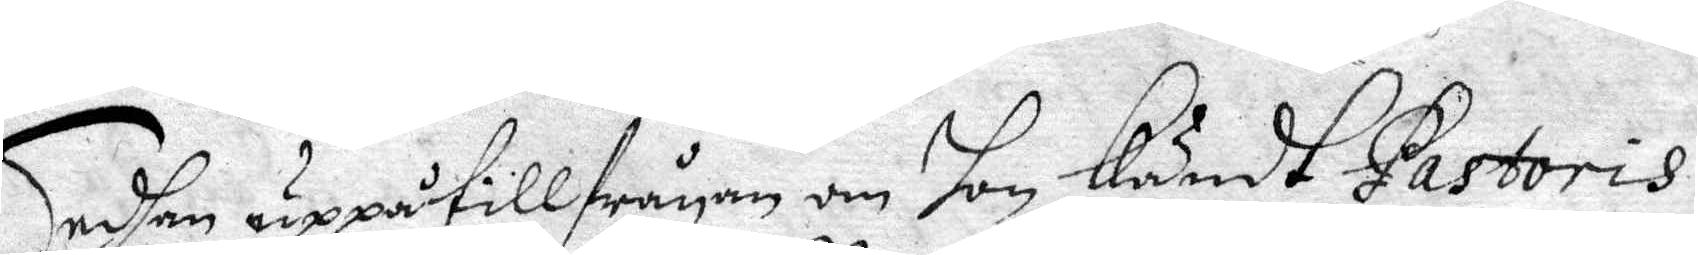Sedhan uppå tillfrågan om hon kändt Pastoris
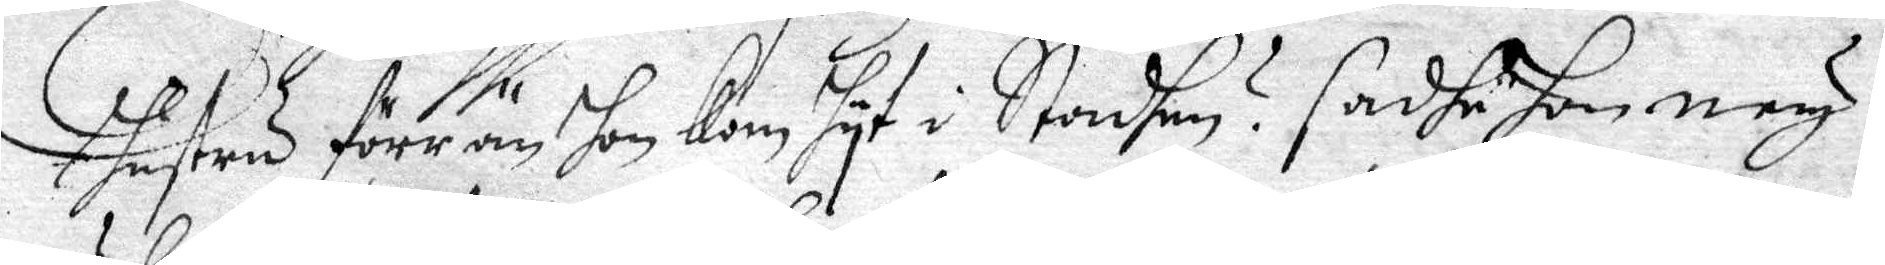hustru förrän hon kom hyt i Stadhen? Sadhe Hon ney,
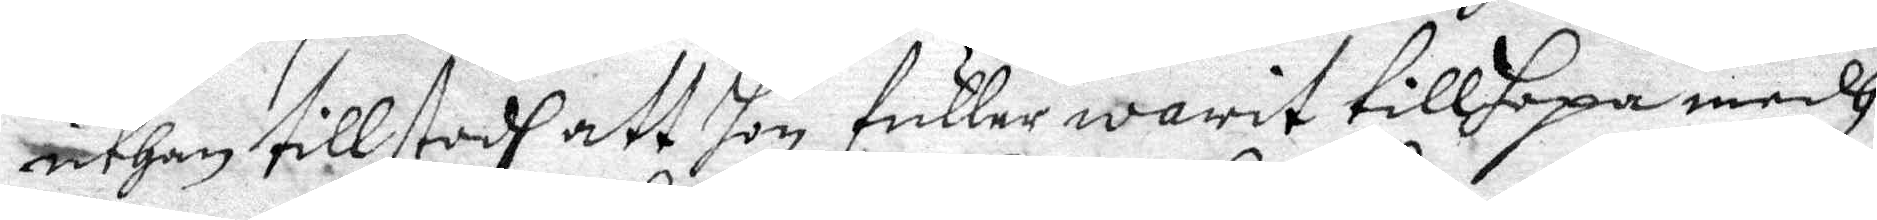uthan tillstodh att hon fuller warit tillhopa medh
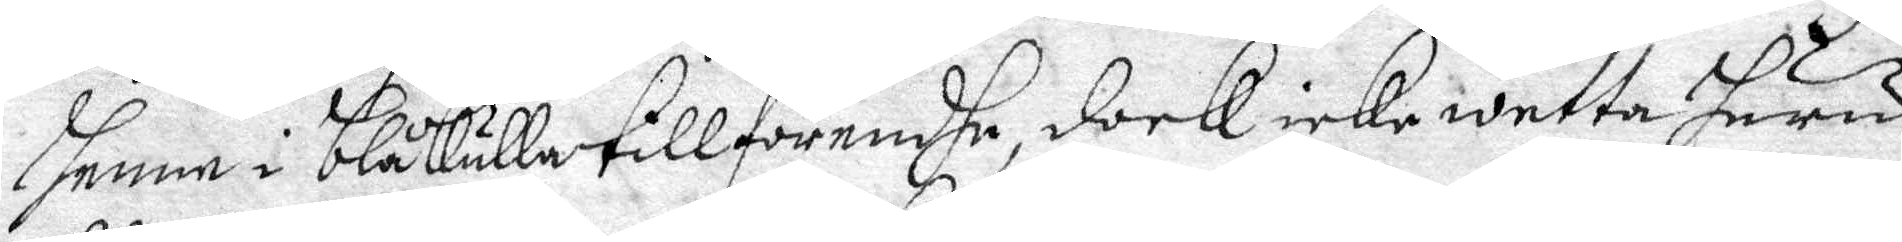Henne i blåkulla tillförendhe, dock icke wetta huru
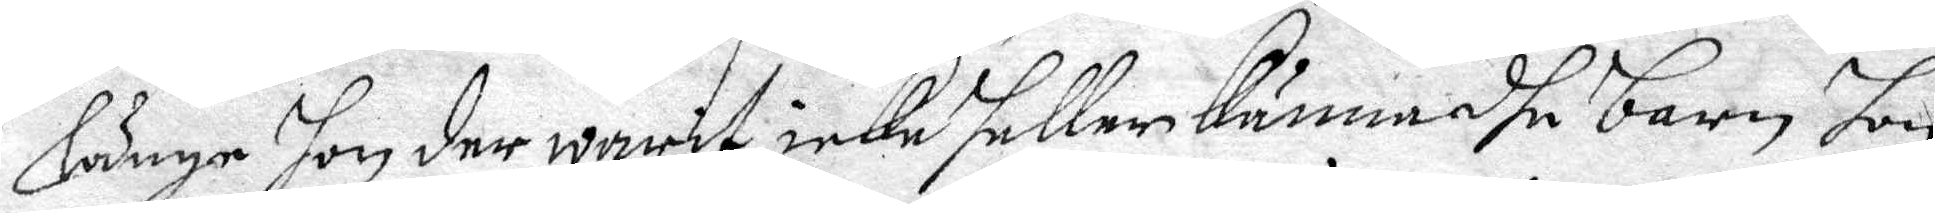Länge hon der warit, icke heller känna dhe barn hon
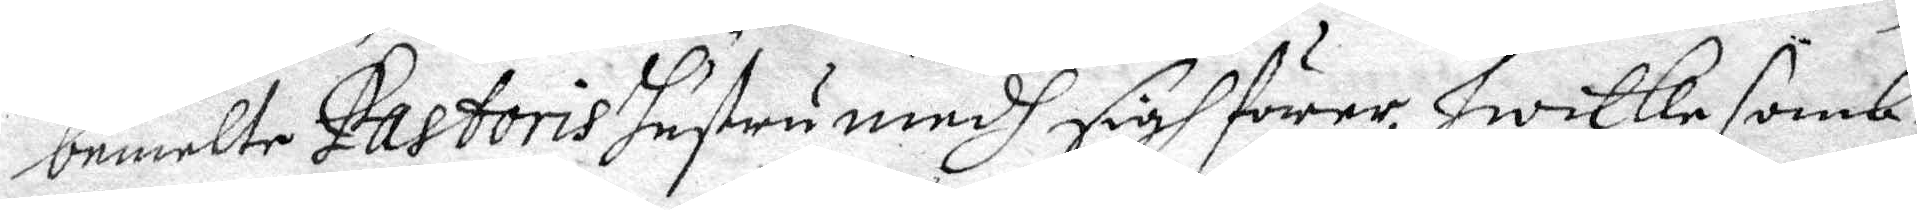bemelte Pastoris hustru medh sigh förer, hwilka somb¬
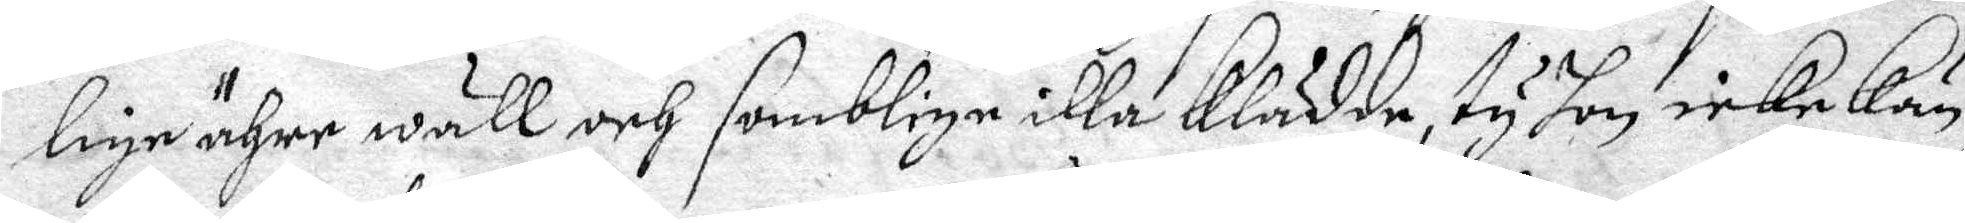lige ähre wäll och somblige illa klädda, ty hon icke kän¬
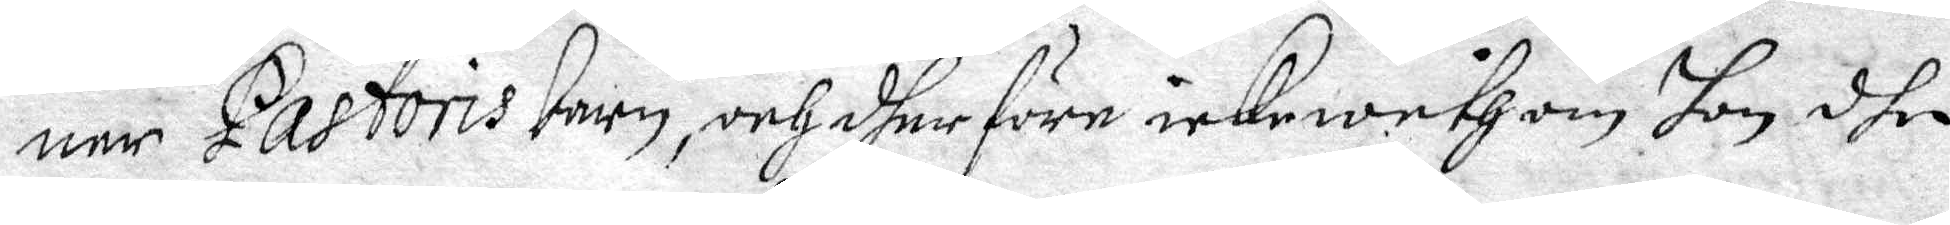ner Pastoris barn, och dher före icke weth om Hon dhe
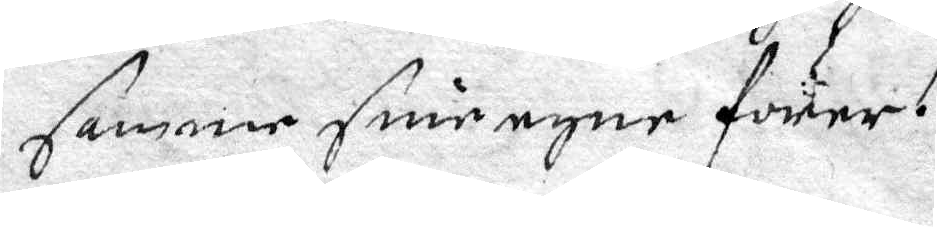samme sine ehne förer.
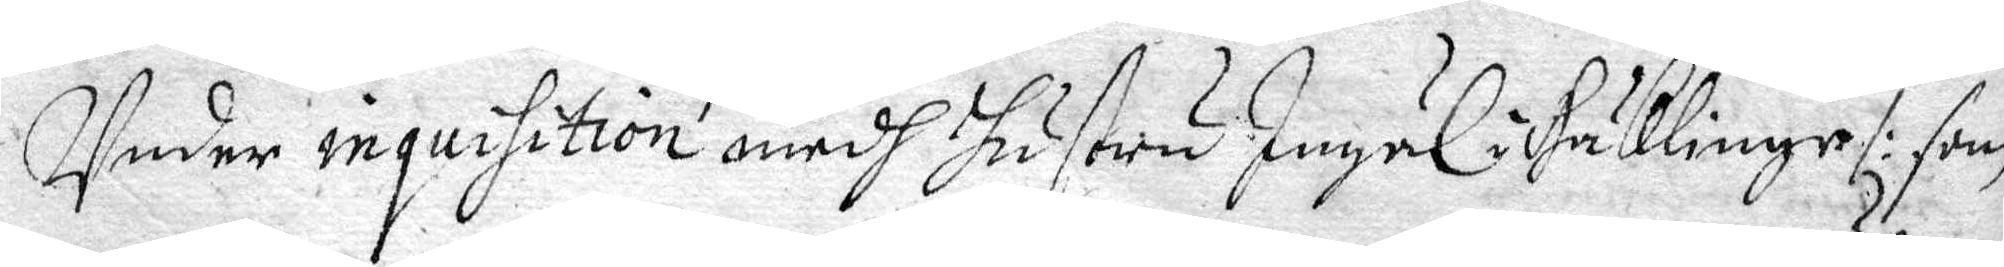Under inquisition medh hustru Ingäl i Käklinge /: som
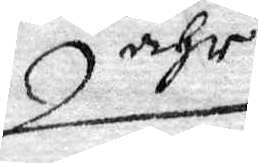ähr
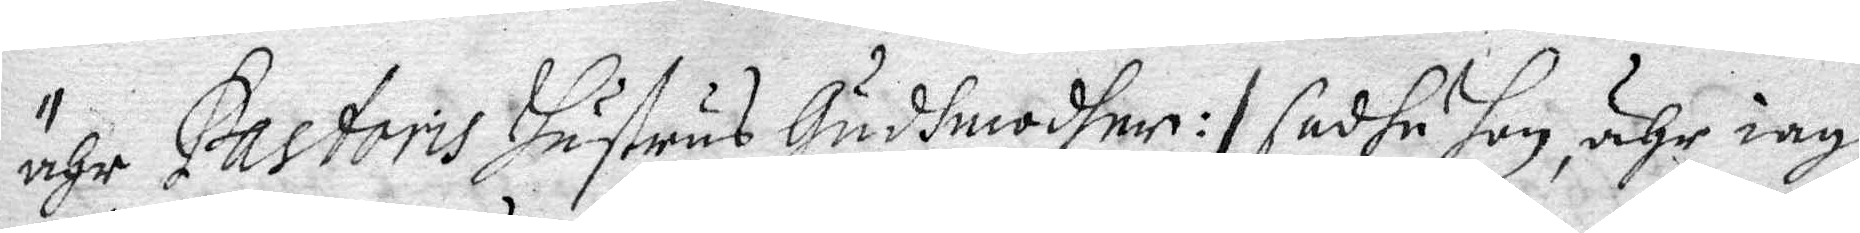ähr Pastoris hustrus Gudhmoder :/ sadhe hon, ähr iagh
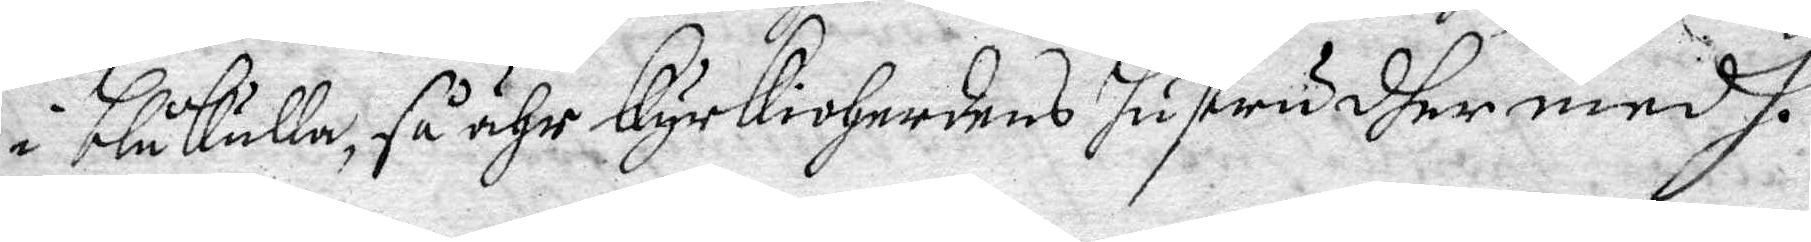i blåkulla, så ähr Kyrkioherdens hustru dher medh.
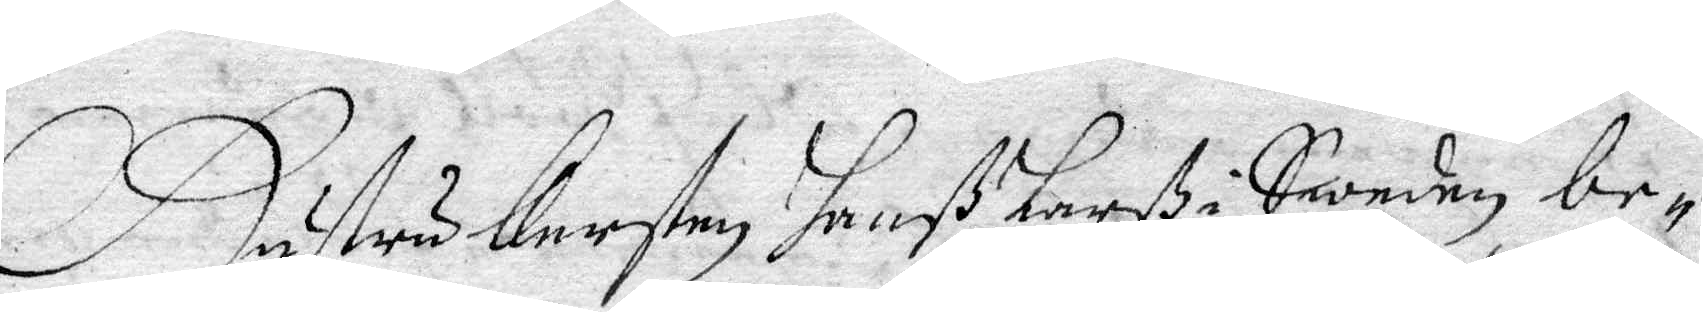Hustru Kersten hanß Larß i Sweden be¬
